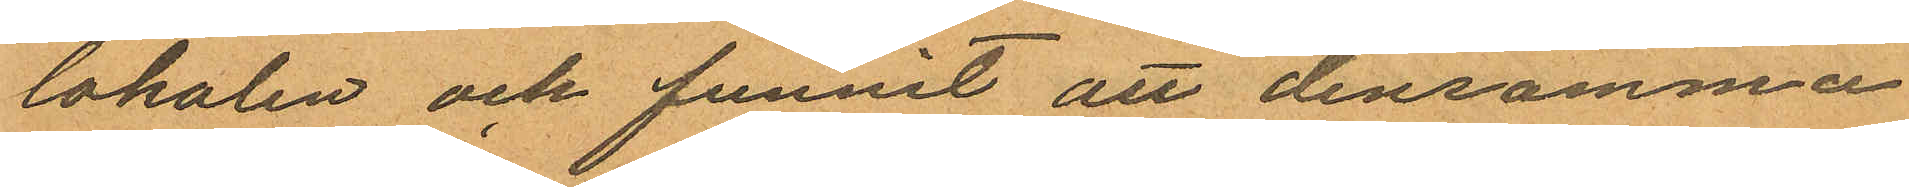lokalen och funnit att densamma
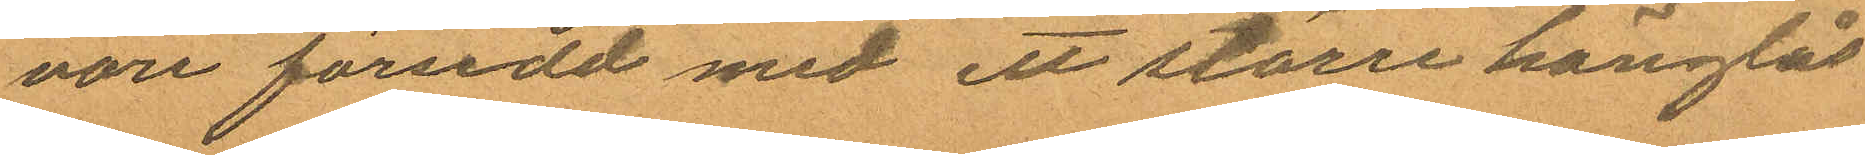vore försedd med ett större hänglås
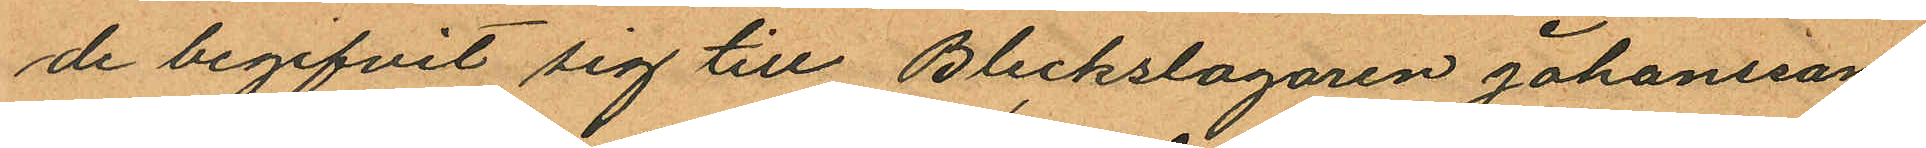de begifvit sig till Bleckslagaren Johanssons
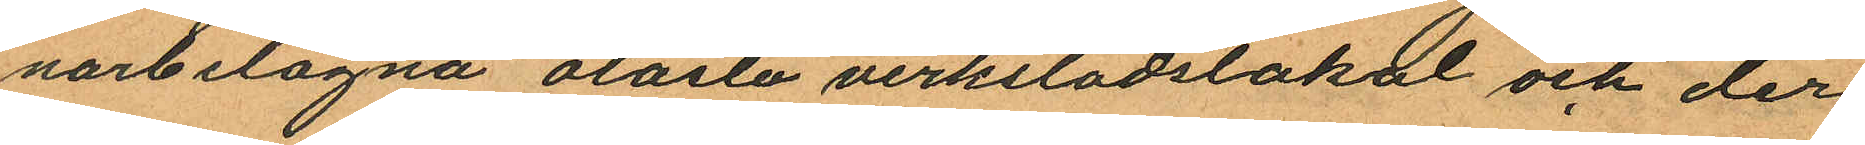narbelägna olåsta verkstadslokal och der
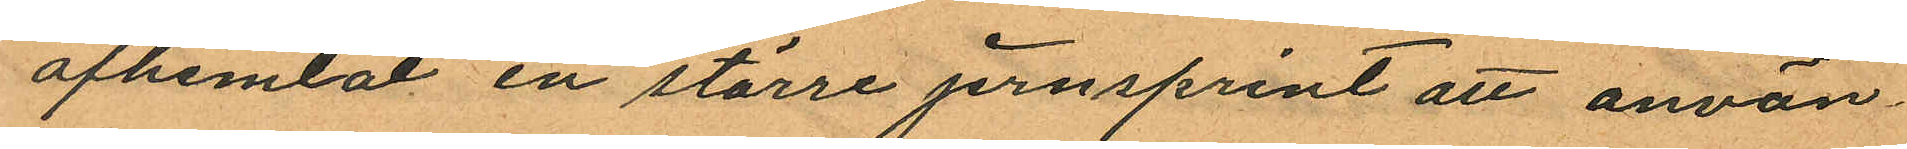afhemtat en större jernsprint att använ
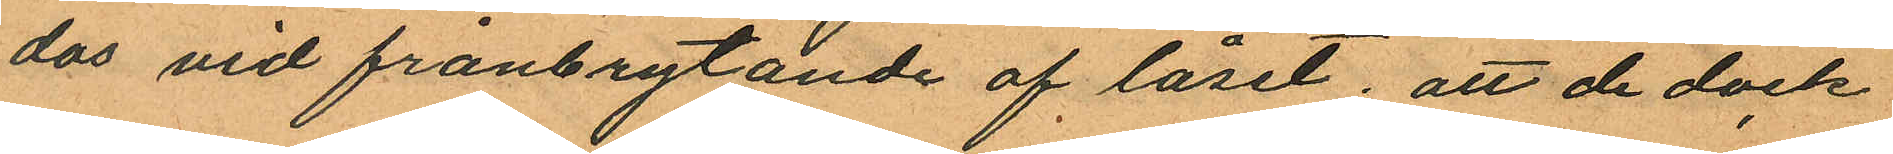das vid frånbrytande af låset; att de dock
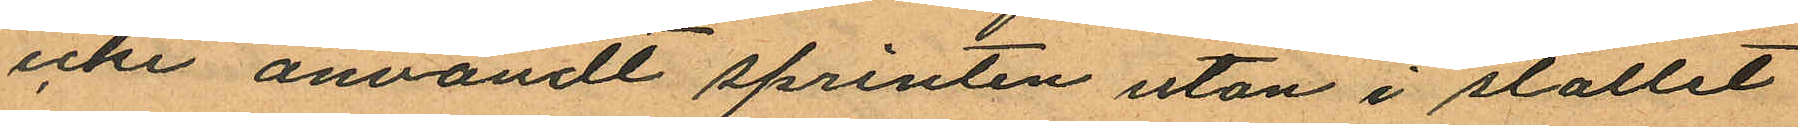icke användt sprinten utan i stället
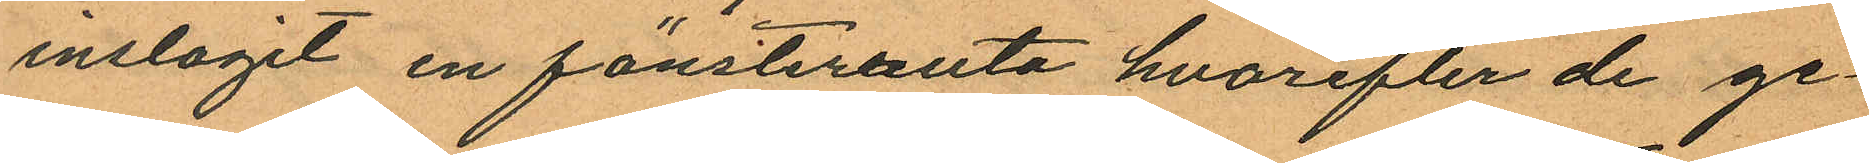inslagit en fönsterruta hvarefter de ge¬
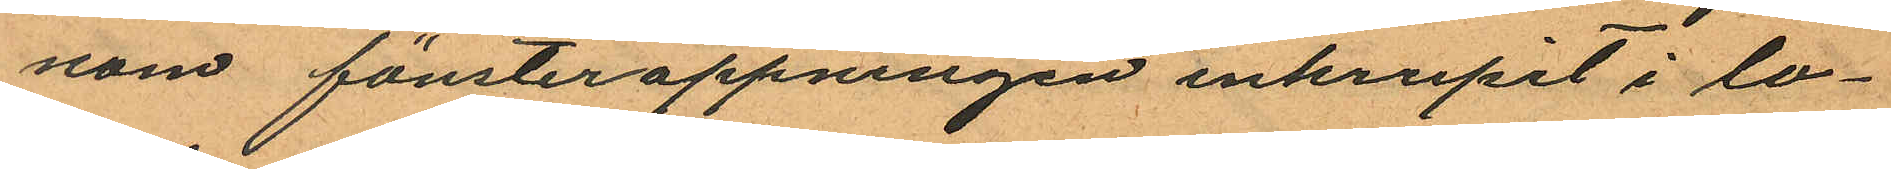nom fönsteröppningen inkrupit i lo¬
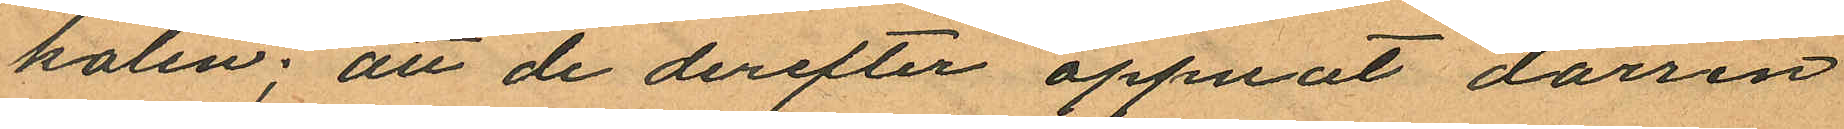kalen; att de derefter oppnat dörren
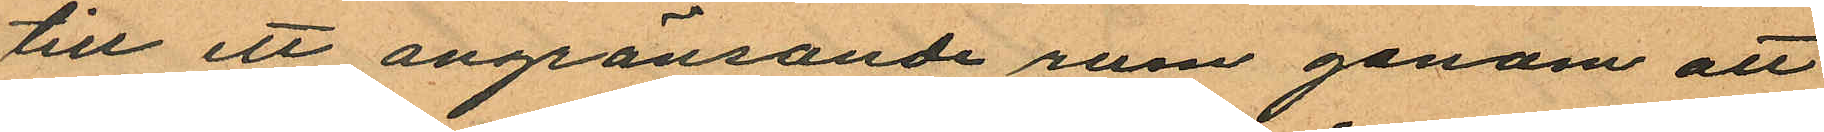till ett angränsande rum genom att
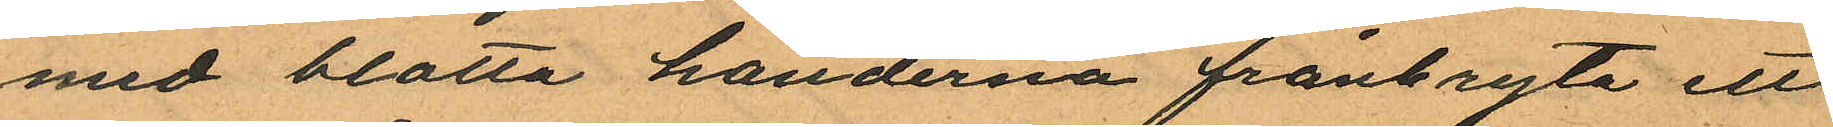med blotta händerna frånbryta ett
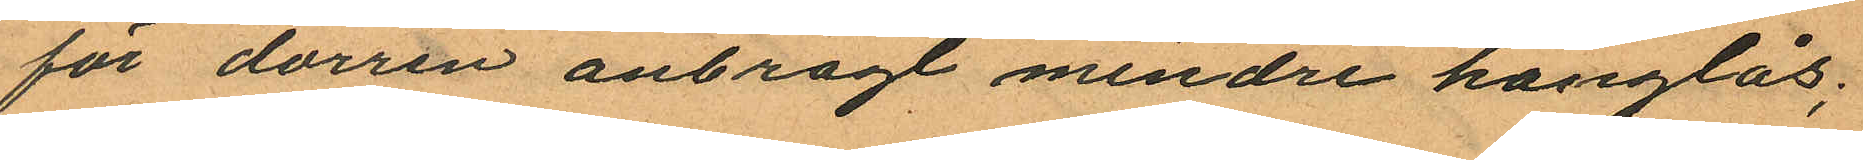för dörren anbragt mindre hänglås;
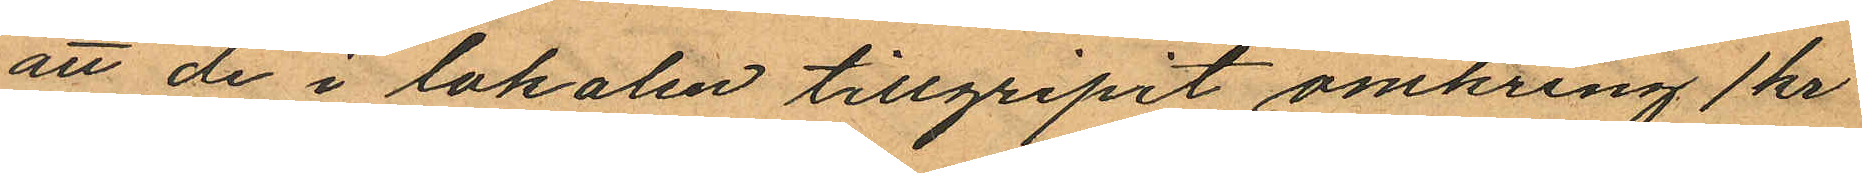att de i lokalen tillgripit omkring 1 kr
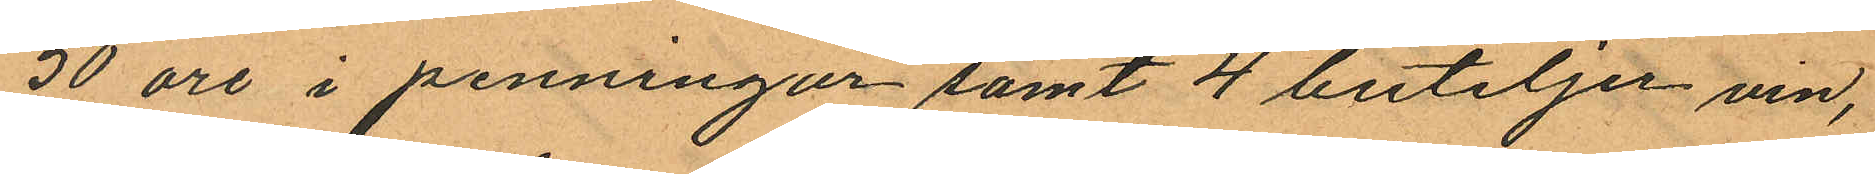50 öre i penningar samt 4 buteljer vin,
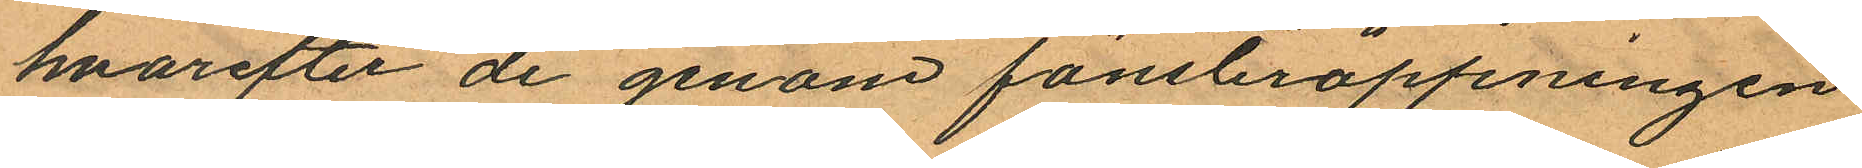hvarefter de genom fönsteröppningen
